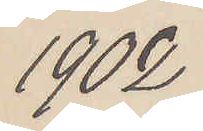1902
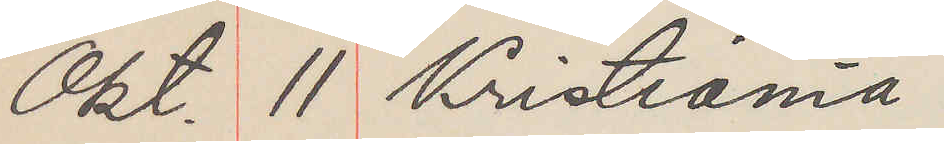Okt. 11 Kristiania
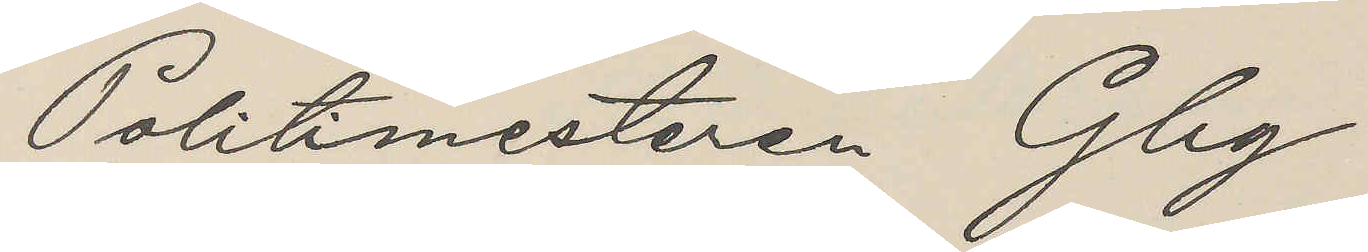Politimesteren Gbg
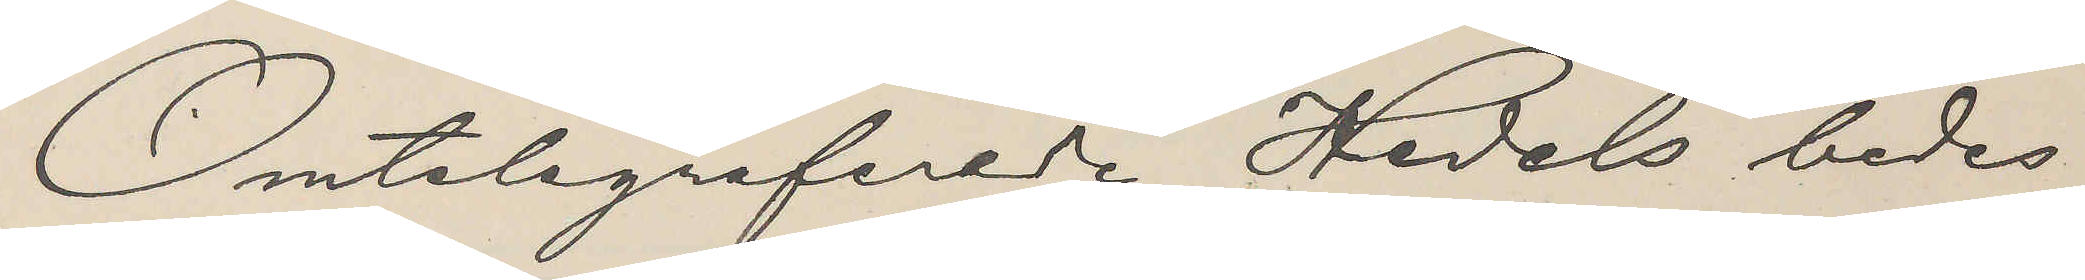Omtelegraferede Hedels bedes
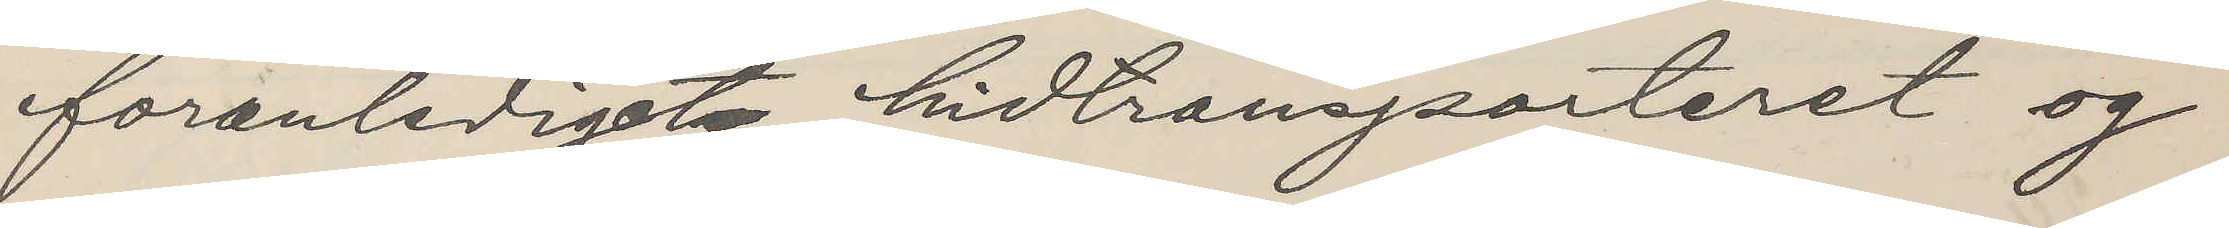föranlediget hidtransporteret og
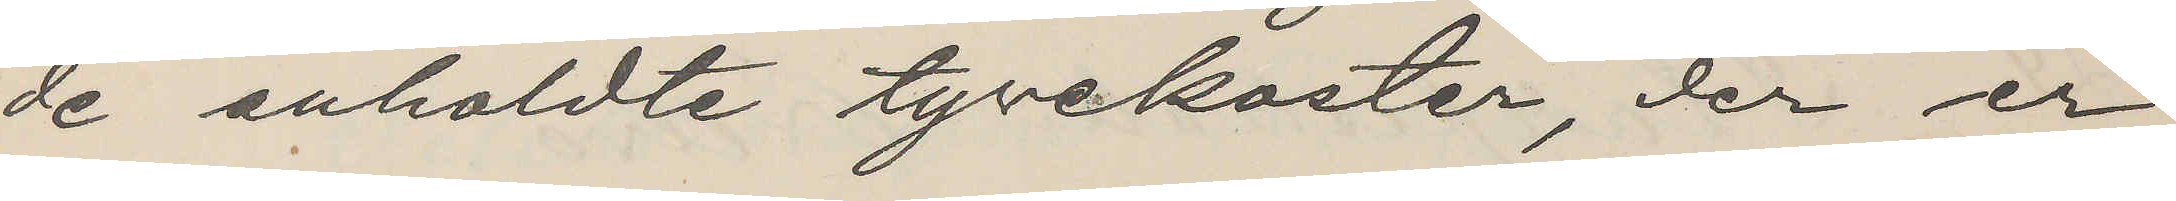de anholdte tyvekoster, der er
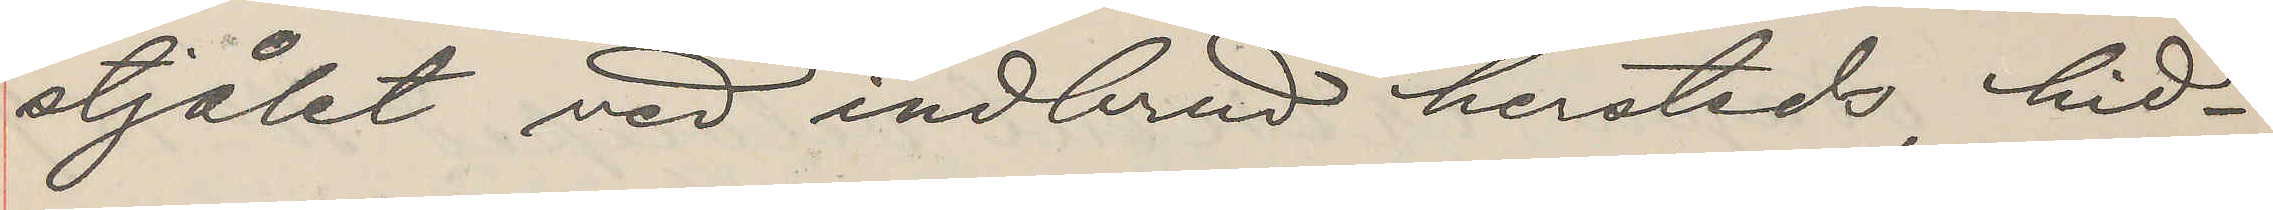stjålet ved indbrud hersteds, hid¬
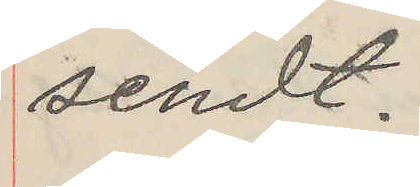sendt.
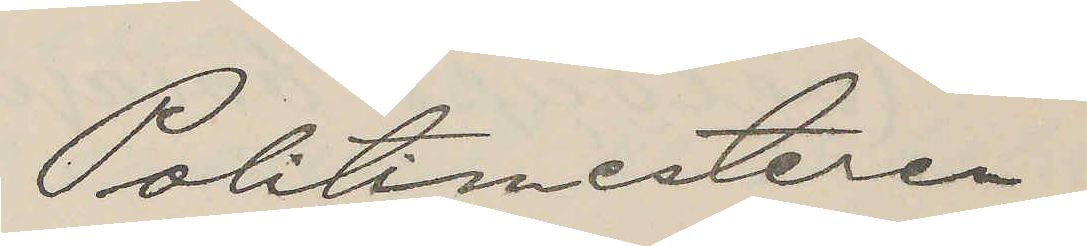Poltimesteren
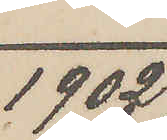1902
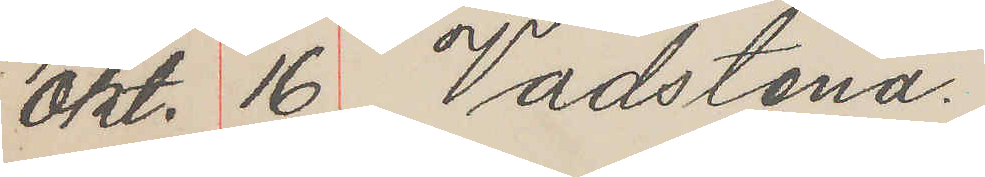Okt. 16 Vadstena.
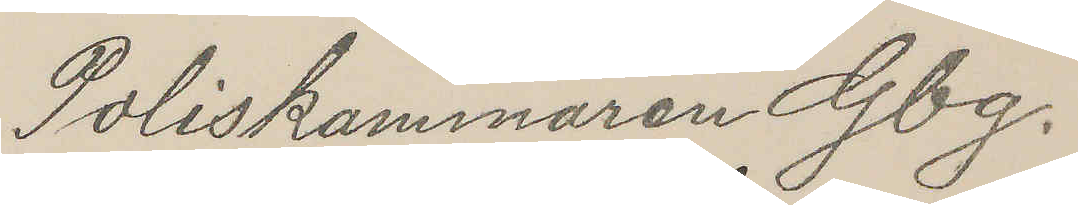Poliskammaren Gbg.
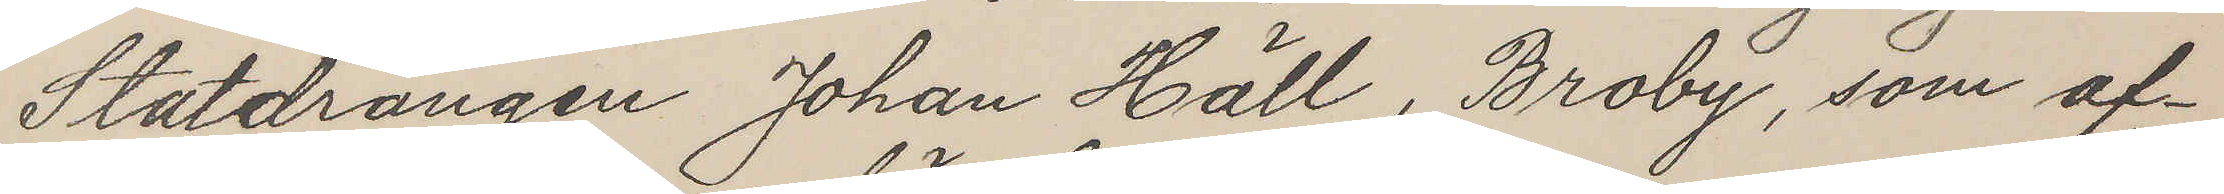Statdrängen Johan Häll, Broby, som af¬
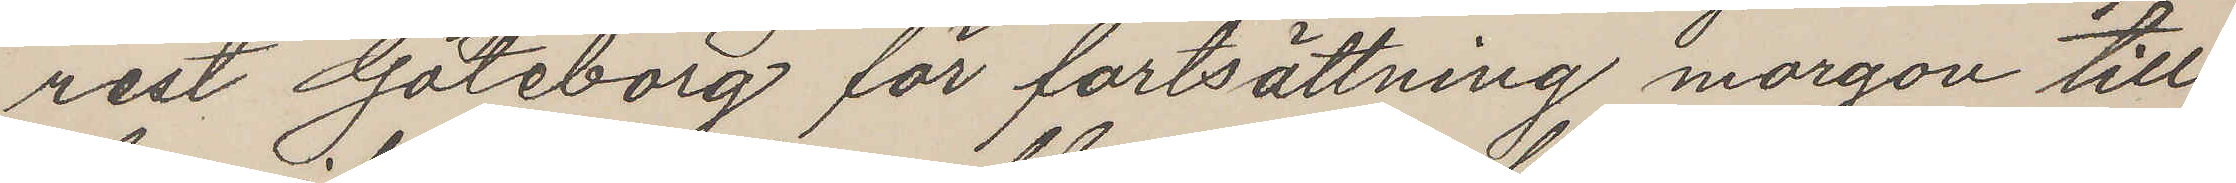rest Göteborg för fortsättning morgon till
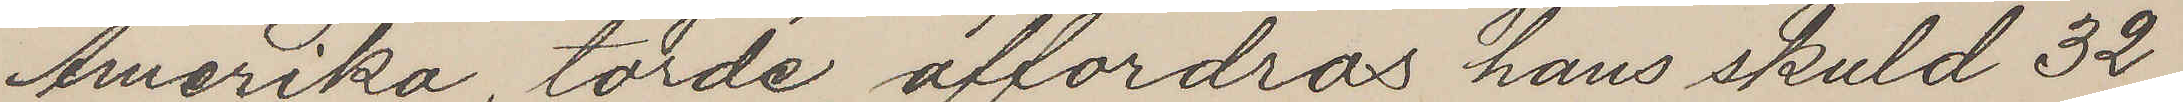Amerika, torde affordras hans skuld 32
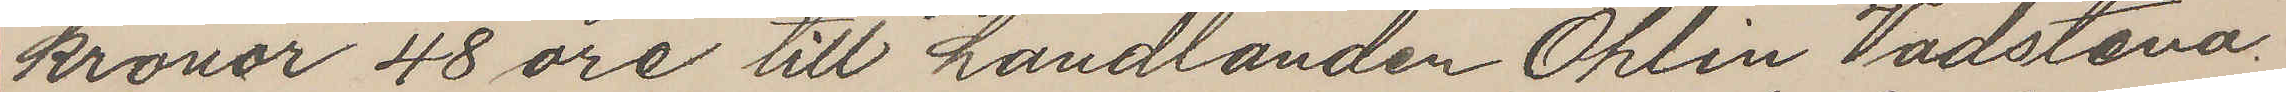kronor 48 öre till handlanden Ohlin Vadstena.
